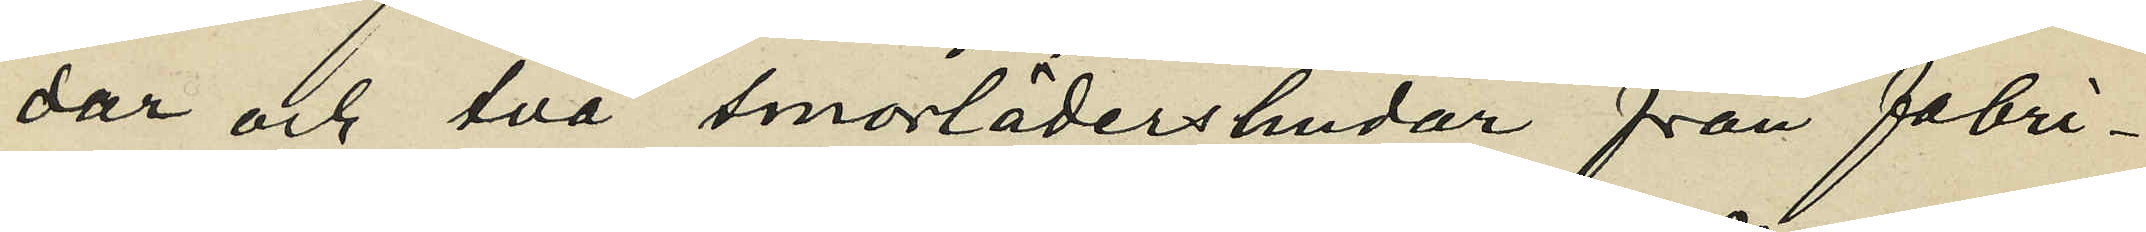dar och två smorlädershudar från fabri¬
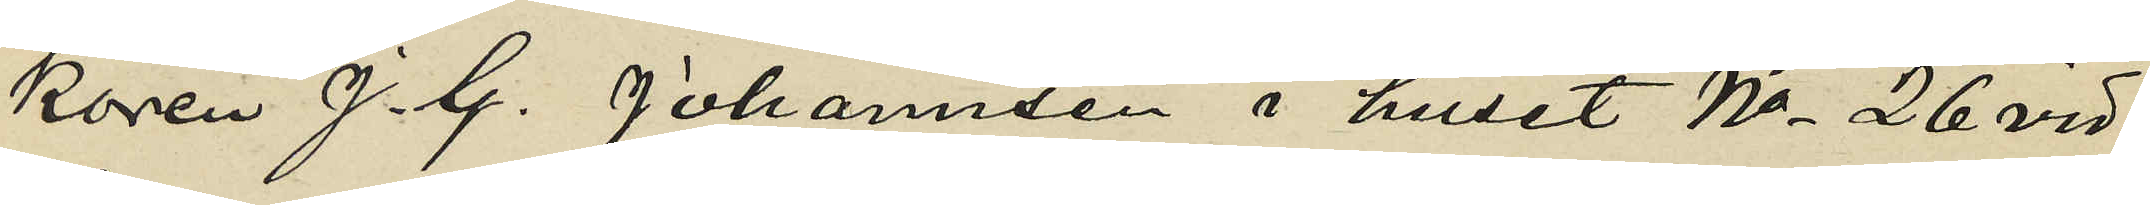kören J. G. Johannsen i huset No 26 vid
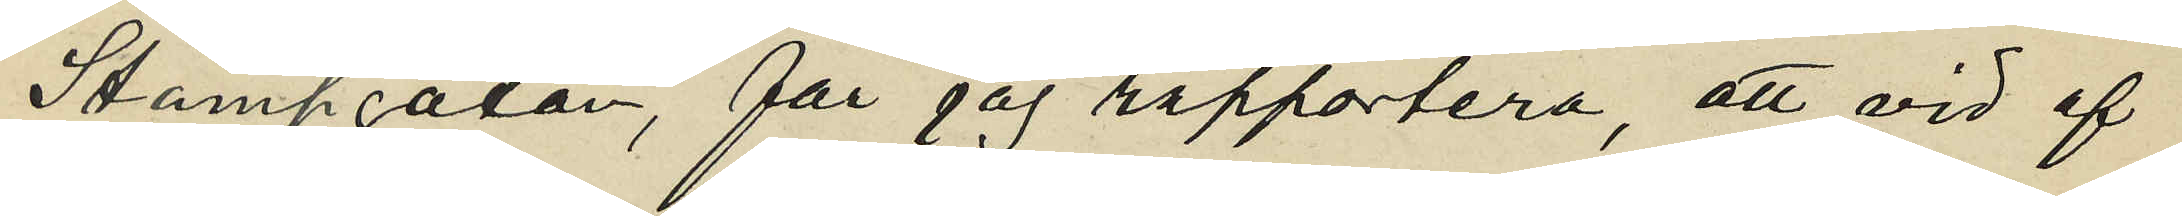Stampgatan, får jag rapportera, att vid af
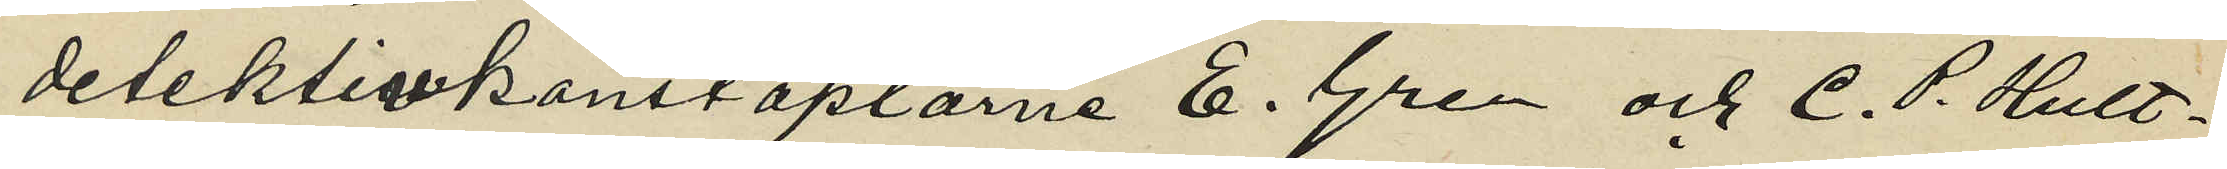detektivkonstaplarne E. Gren och C. P. Hult¬
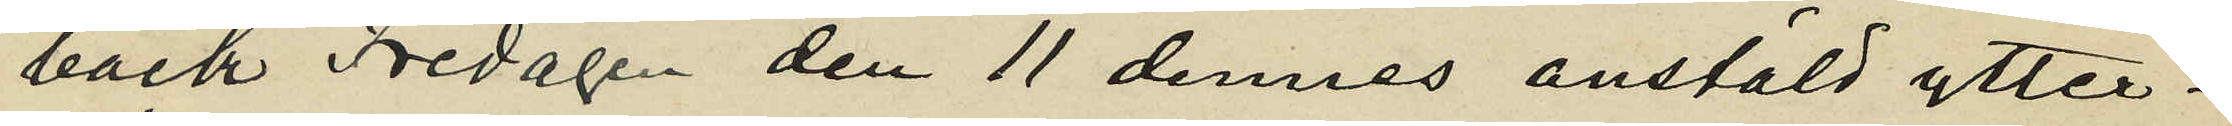bäck Fredagen den 11 dennes anstäld ytter¬
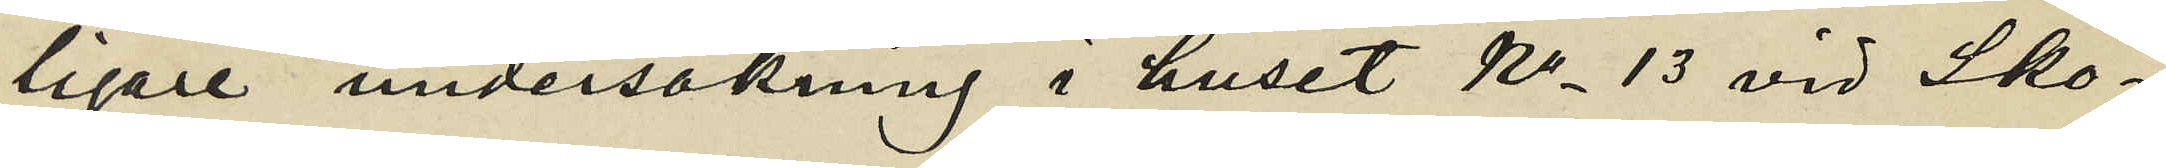ligare undersökning i huset No 13 vid Sko¬
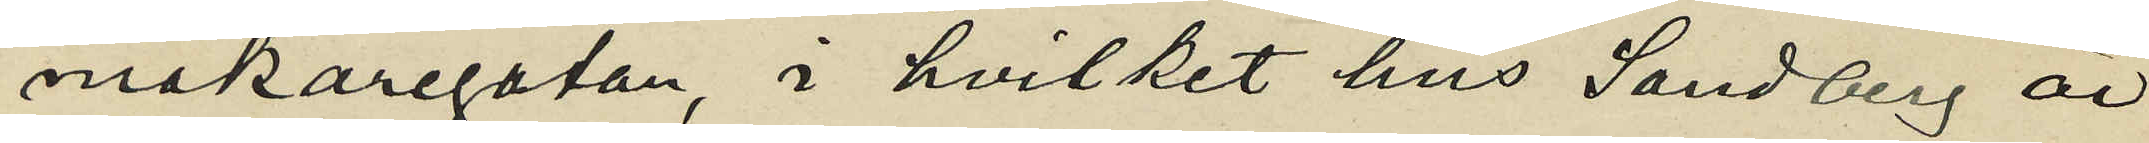makaregatan, i hvilket hus Sandberg är
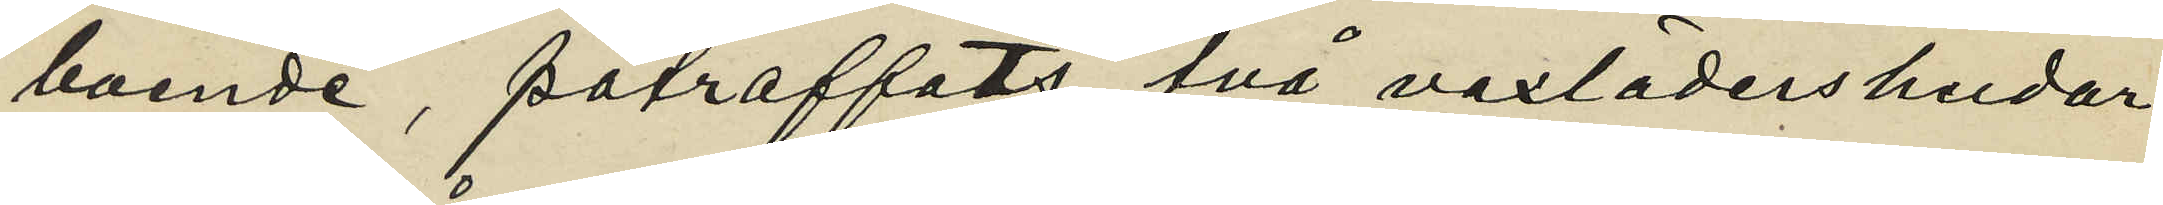boende, påträffats två vaxlädershudar
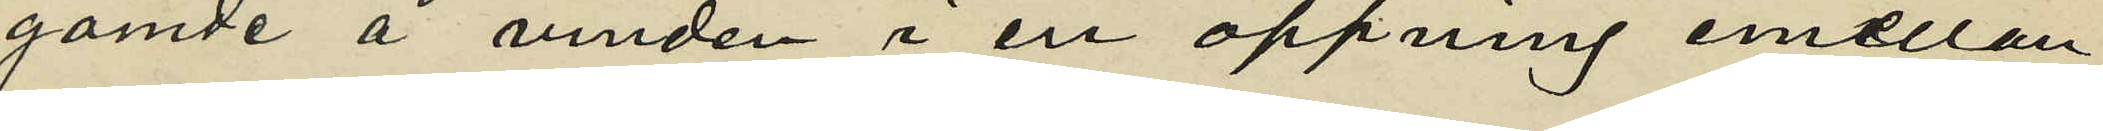gömde å vinden i en öppning emellan
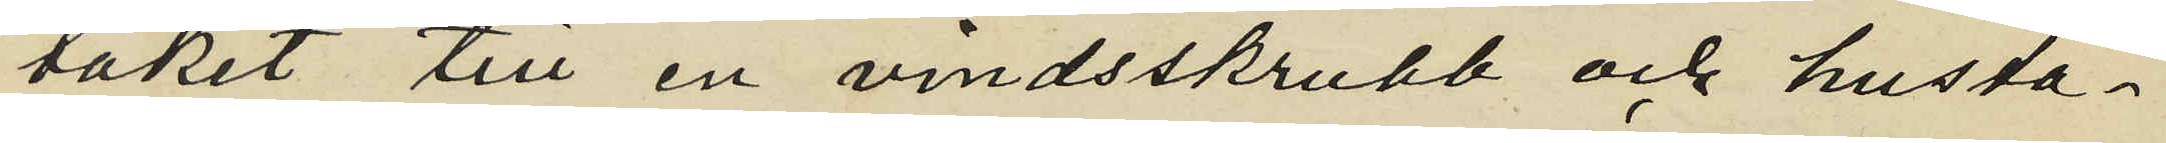taket till en vindsskrubb och husta¬
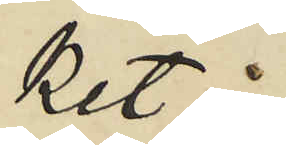ket.
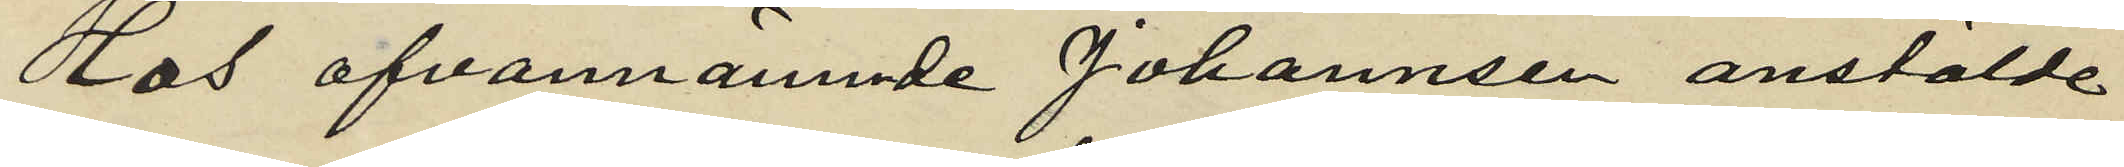Hos ofvannämnde Johannsen anstälde
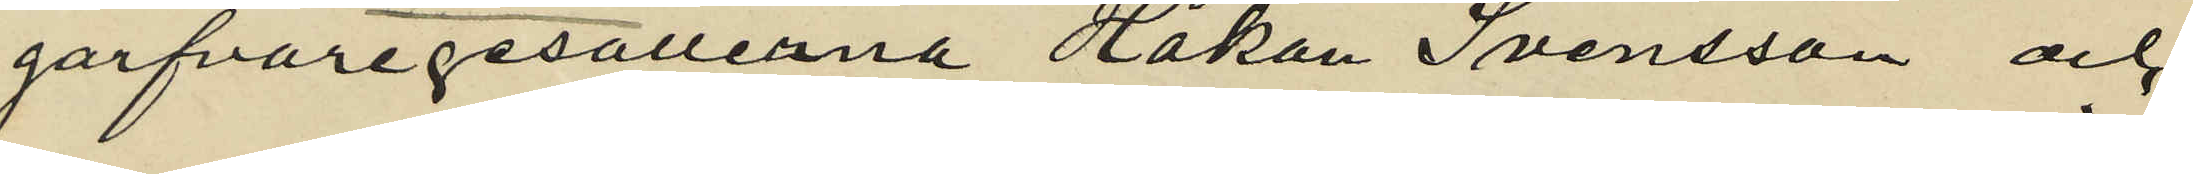garfvaregesällerna Håkan Svensson och
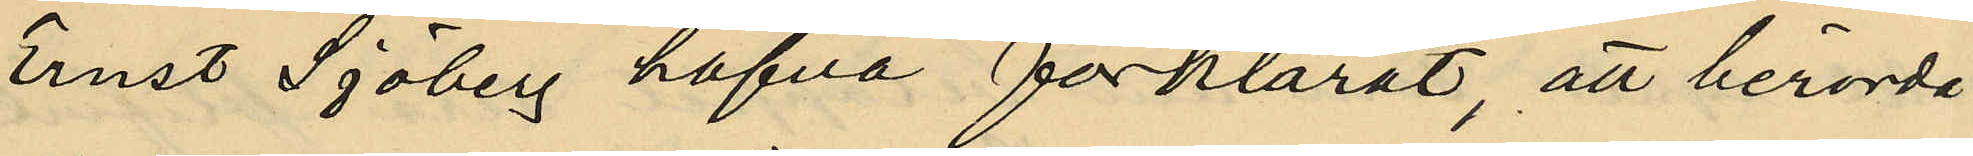Ernst Sjöberg hafva förklarat, att berörda
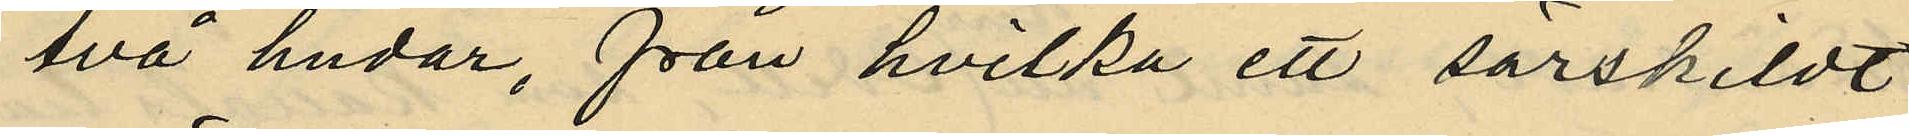två hudar, från hvilka ett särskildt
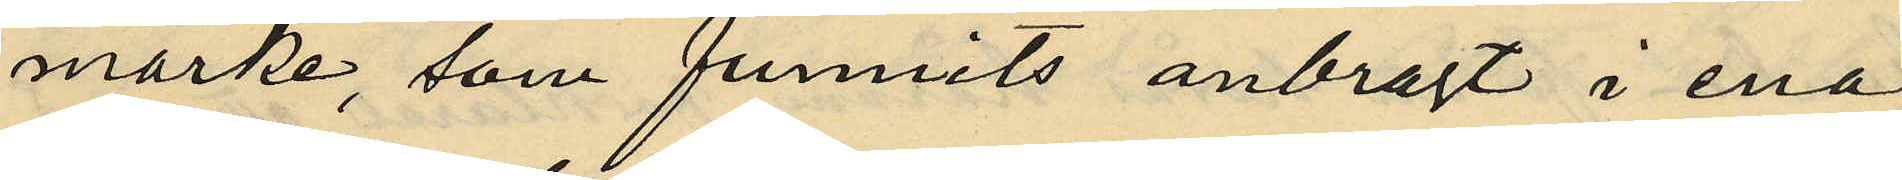märke, som funnits anbragt i ena
